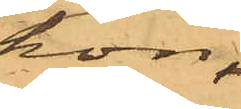hon,
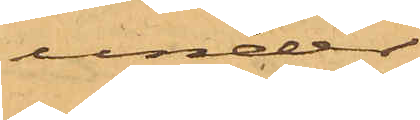under
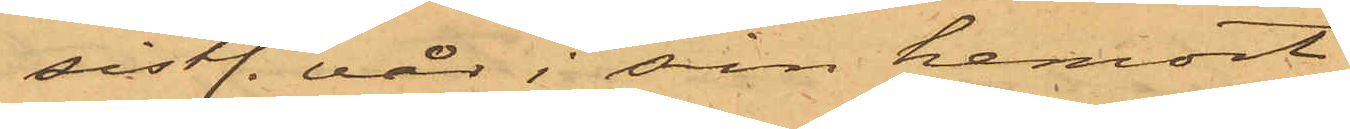sistl. vår i sin hemort
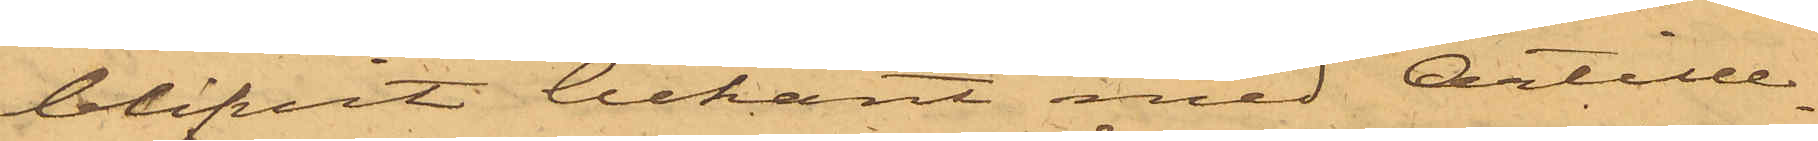blifvit bekant med Artille¬
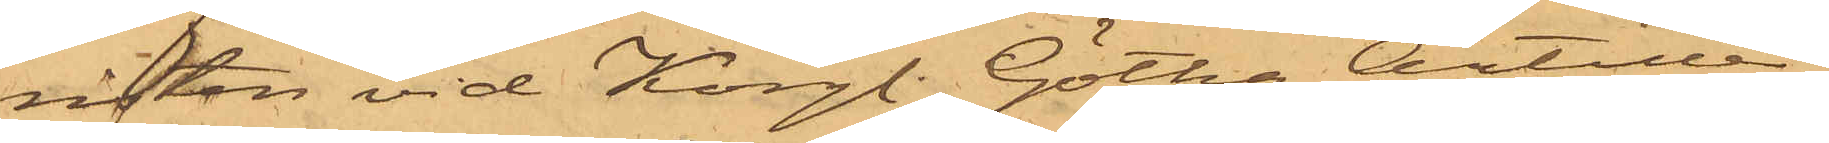risten vid Kongl. Götha Artille¬
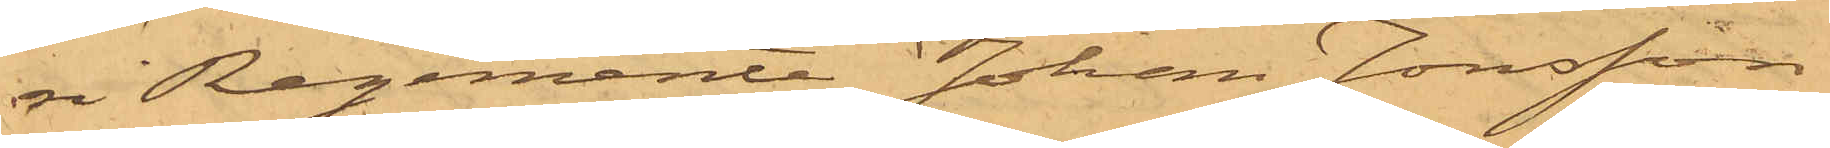ri Regemente Johan Jonsson
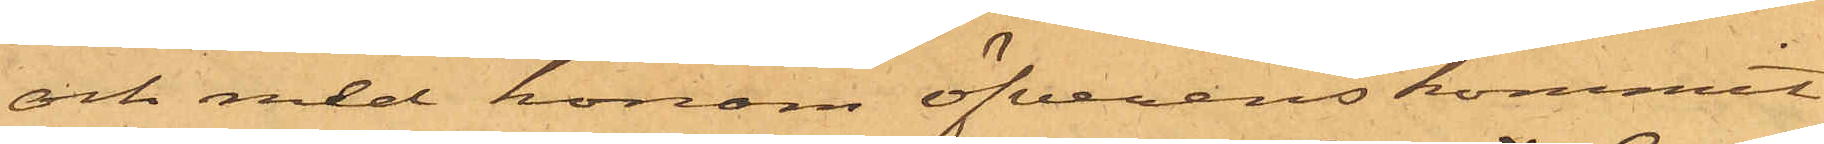och med honom öfverenskommit
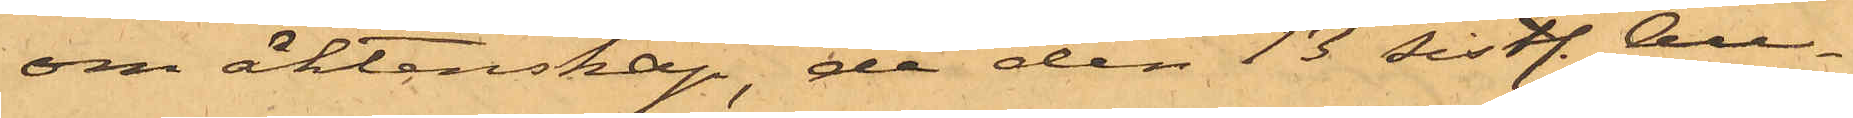om äktenskap, de den 13 sistl. Au¬
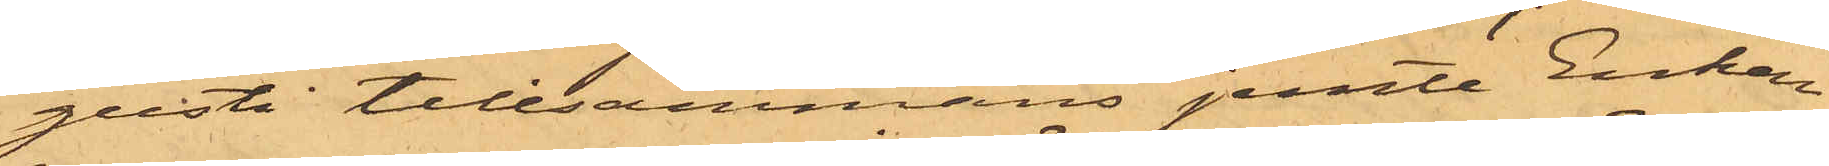gusti tillsammans jemte Enkan
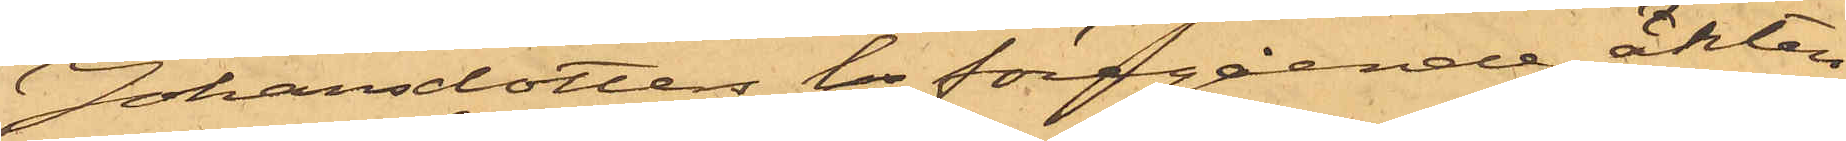Johansdotters i föregående äkten¬
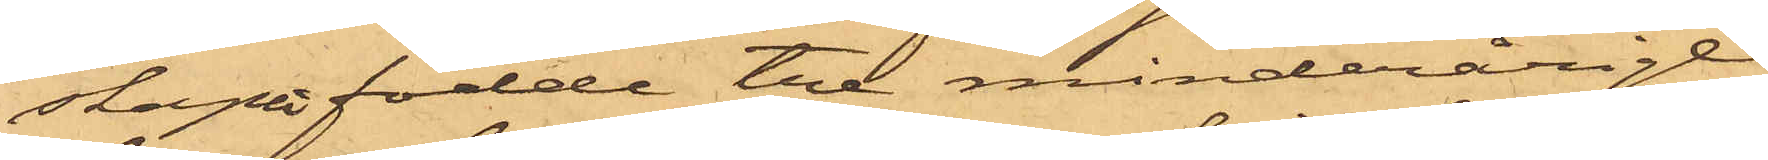skapet födde tre minderårige
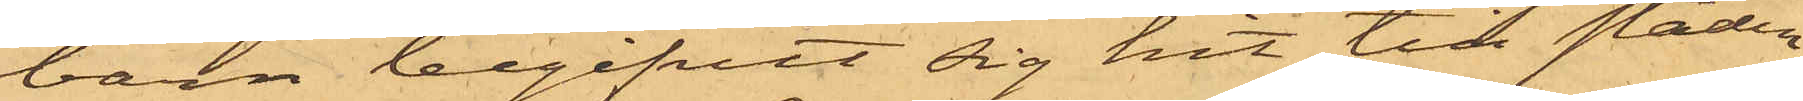barn begifvit sig hit till staden
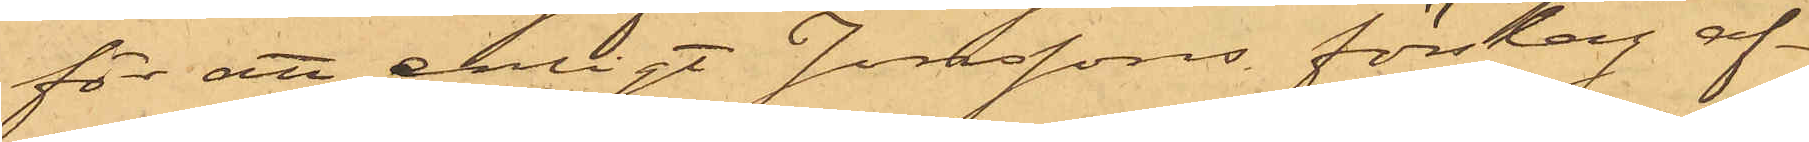för att enligt Jonssons förslag af¬
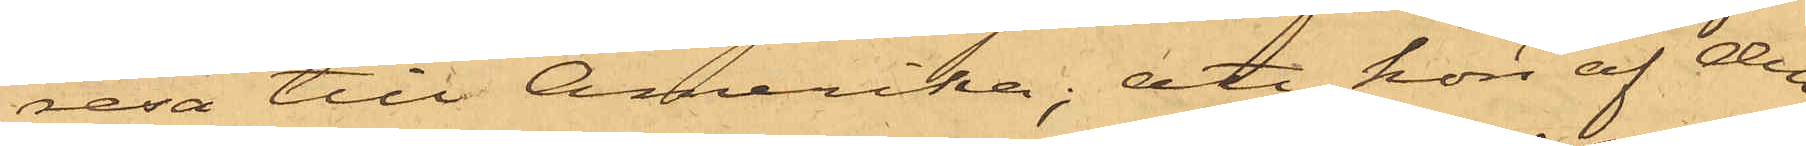resa till Amerika; att hon af den¬
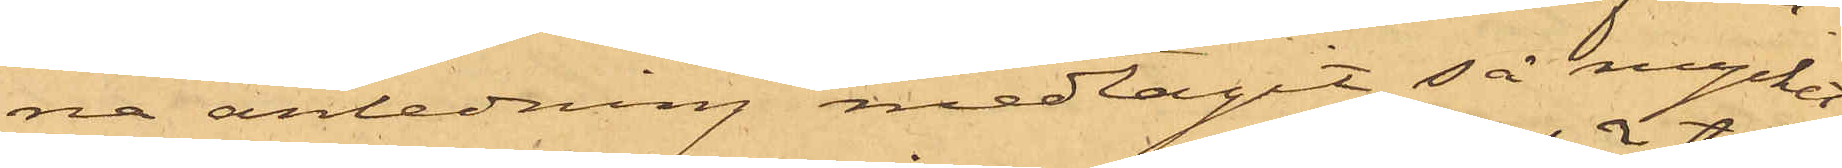na anledning medtagit så mycket
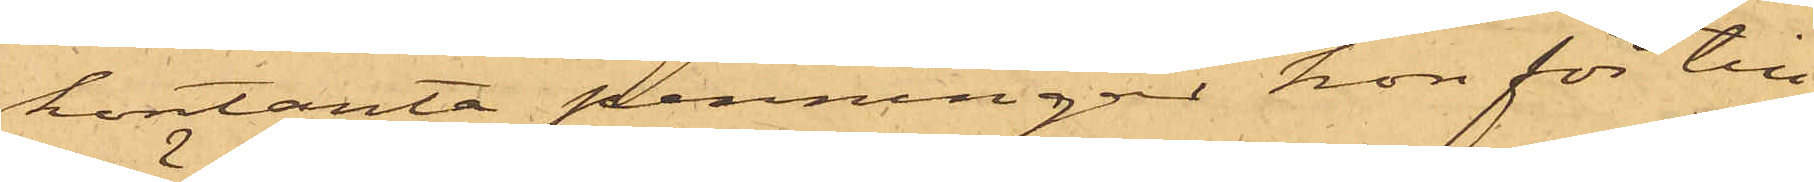kontanta penningar hon för till¬
